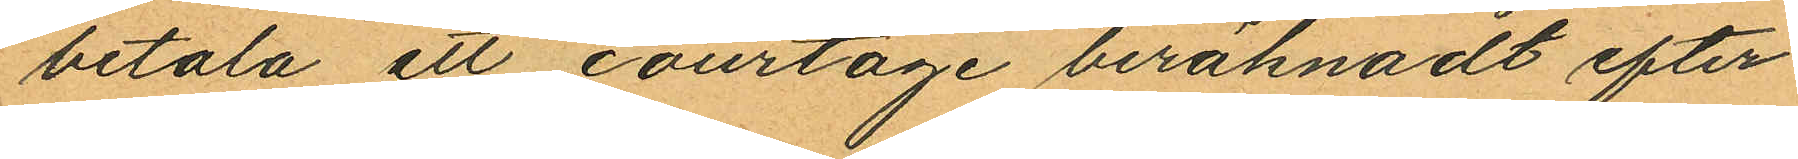betala ett courtage beräknadt efter
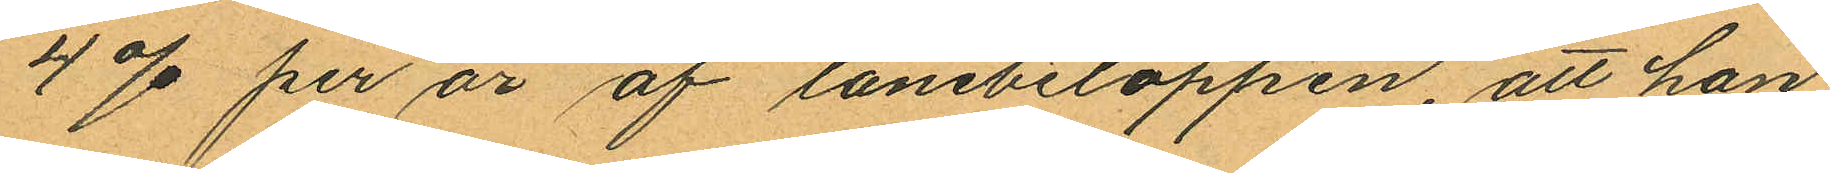4 % per år af lånebeloppen att han
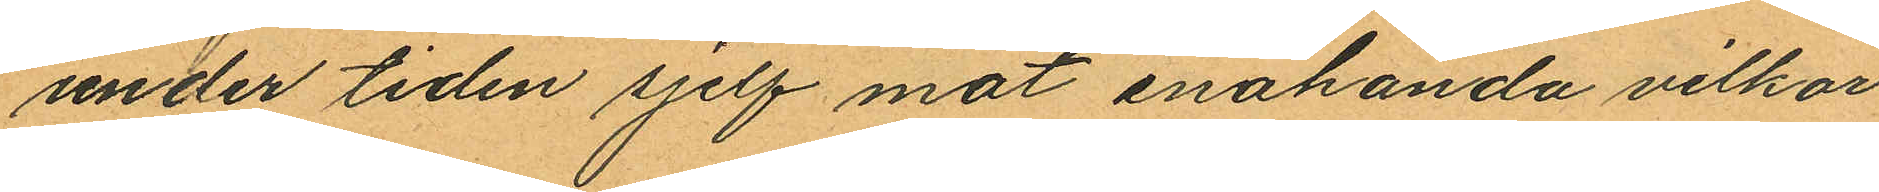under tiden sjelf mot enahanda vilkor
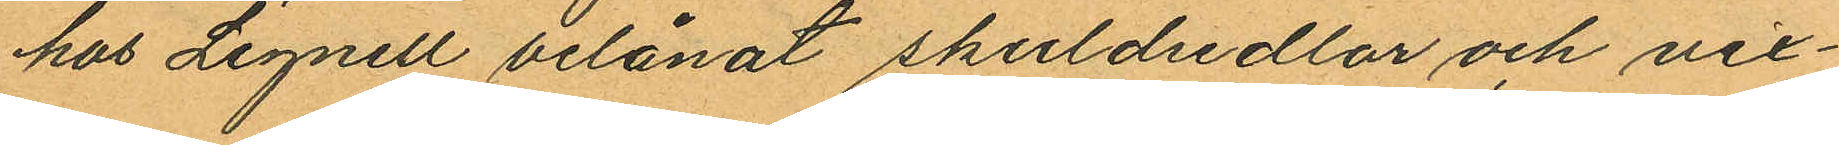hos Lignell belånat skuldsedlar och vel¬
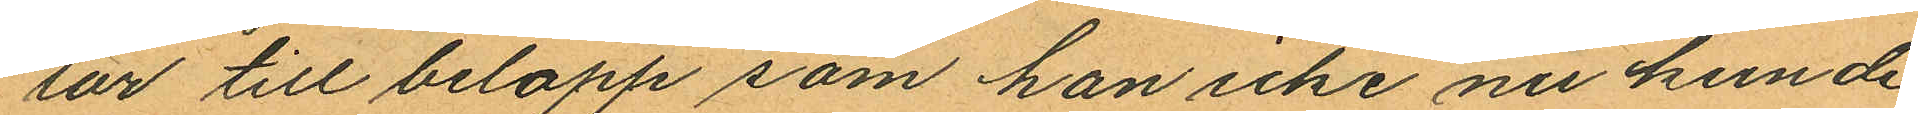lar till belopp som han icke nu kunde
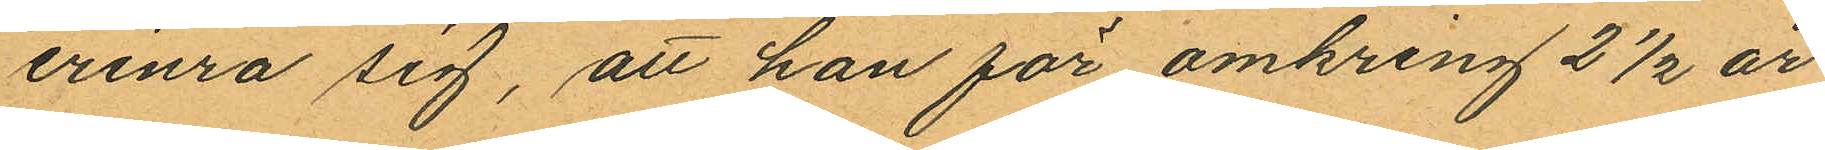erinra sig, att han för omkring 2 ½ år
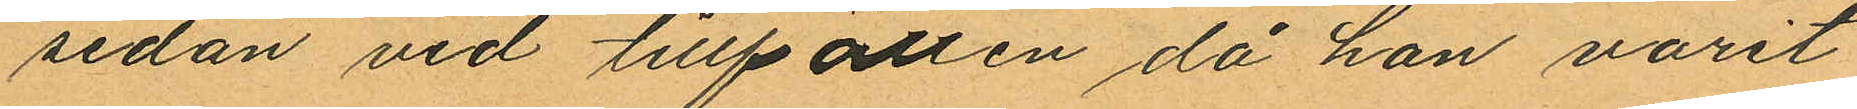sedan vid tillfällen då han varit
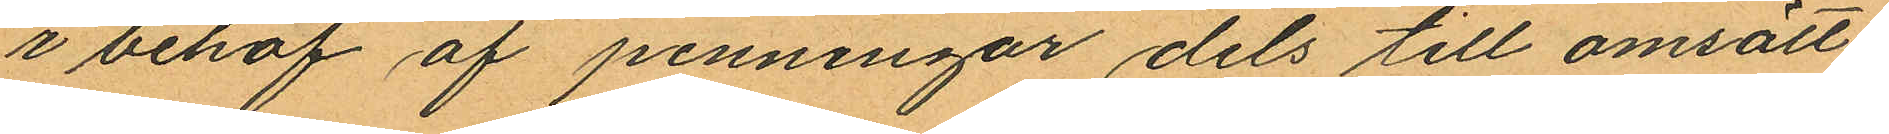i behof af penningar dels till omsätt¬
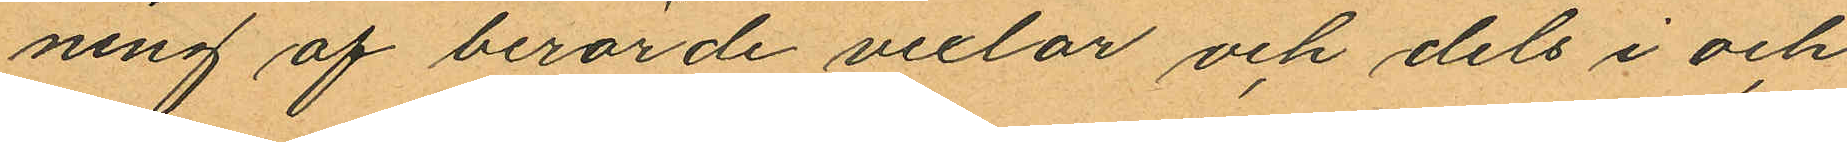ning af berörde vexlar och dels i och
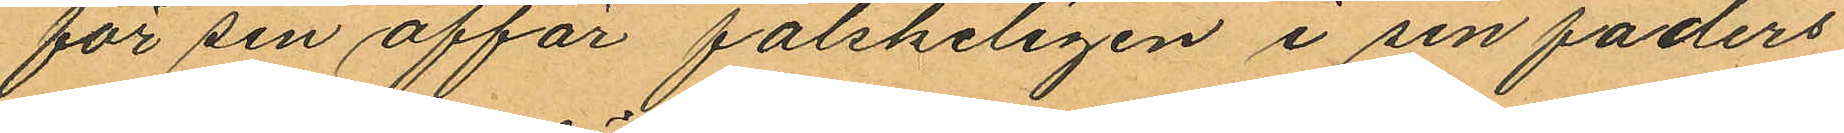för sin affär falskeligen i sin faders
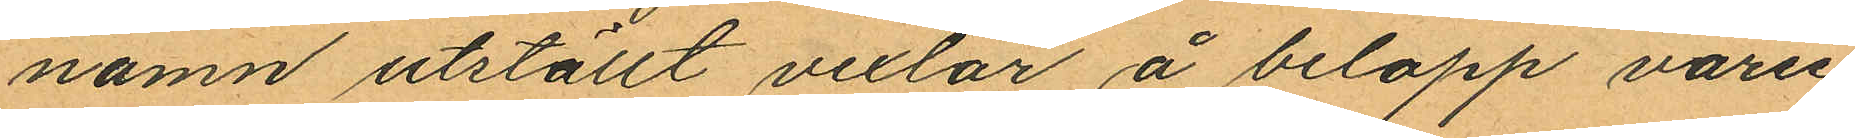namn utställt vexlar å belopp varie¬
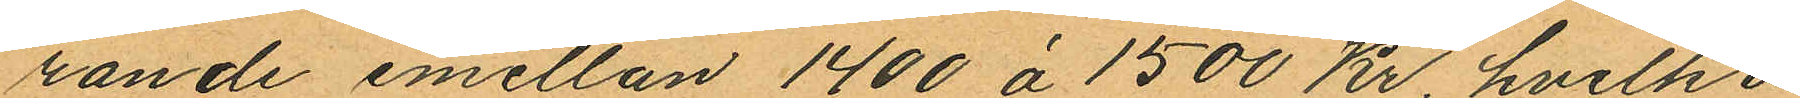rande emellan 1400 á 1500 Kr, hvilka
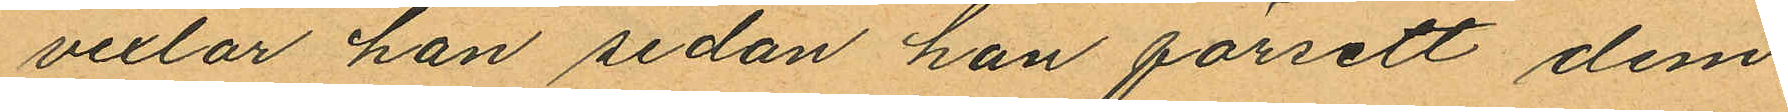vexlar han sedan han försett dem
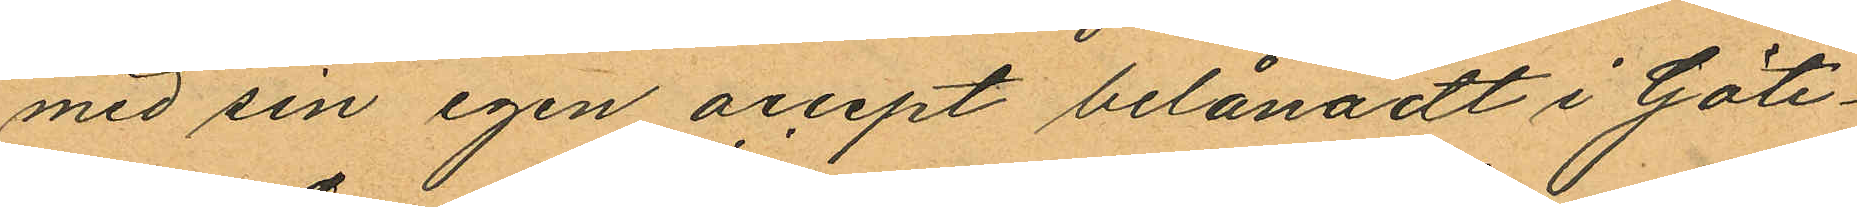med sin egen accept belånadt i Göte¬
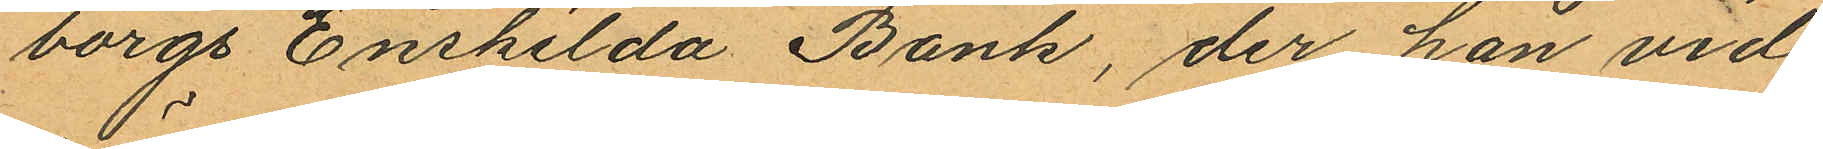borgs Enskilda Bank, der han vid
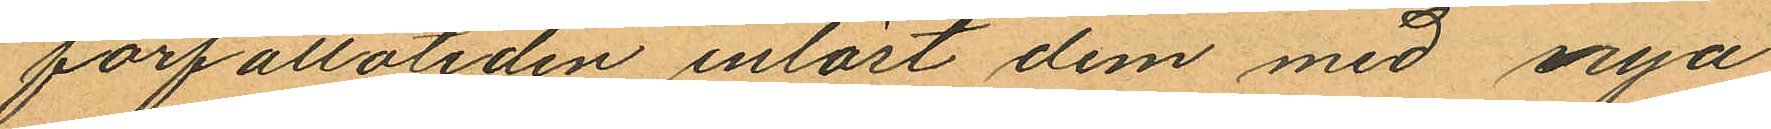förfallotiden inlöst dem med nya
